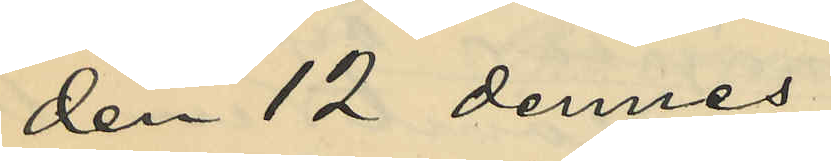den 12 dennes
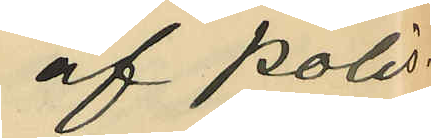af Polis¬
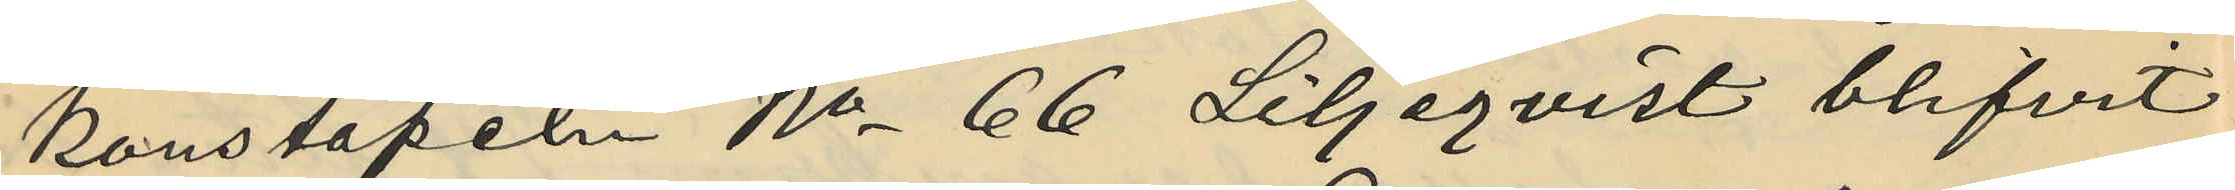konstapeln No 66 Liljeqvist blifvit
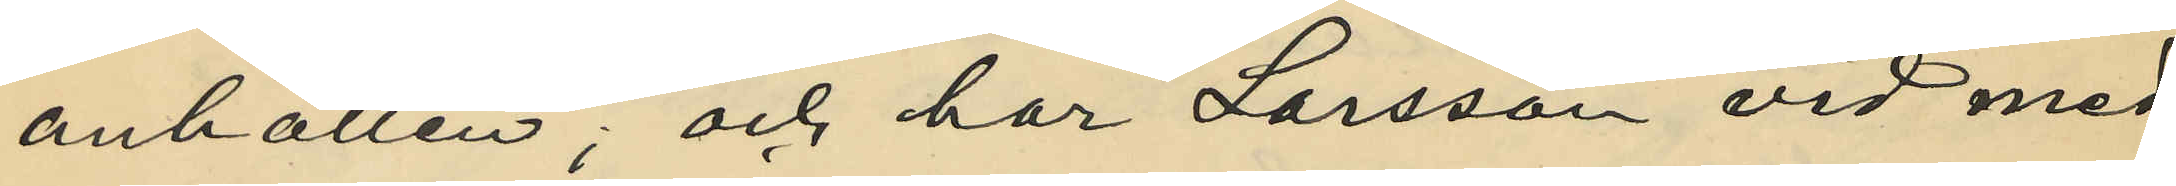anhållen; och har Larsson vid med
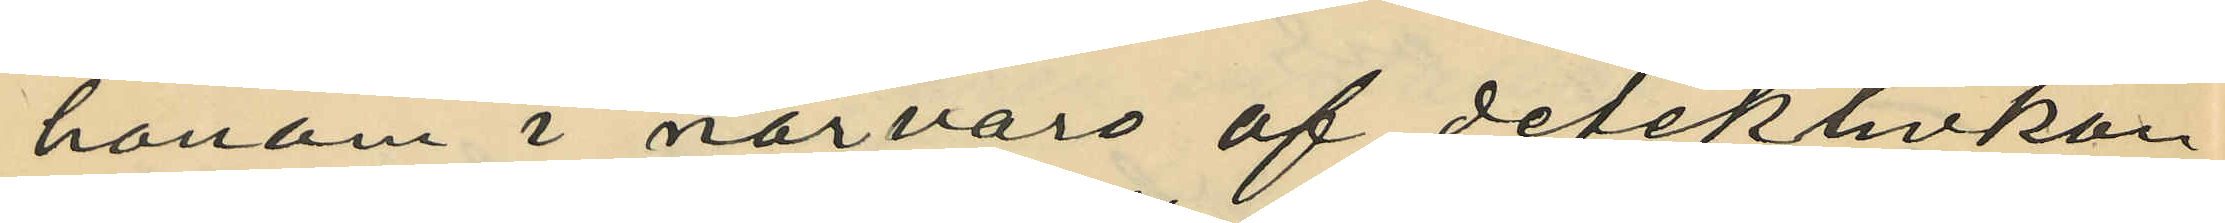honom i närvaro af detektivkon¬
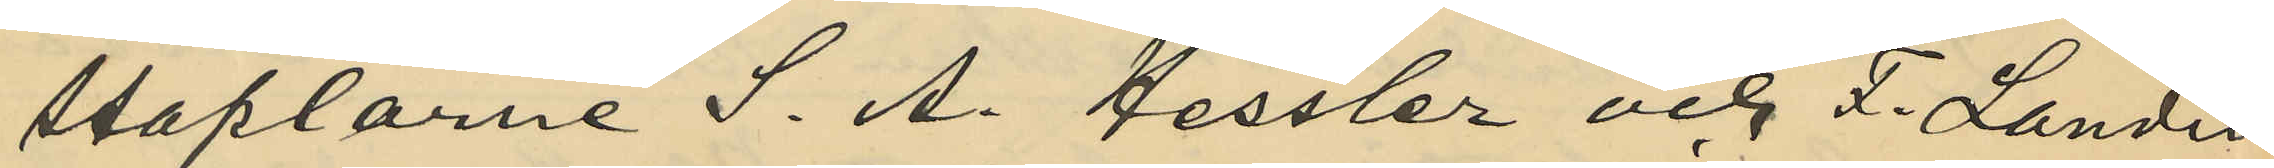staplarne S. A. Hessler och F. Landin
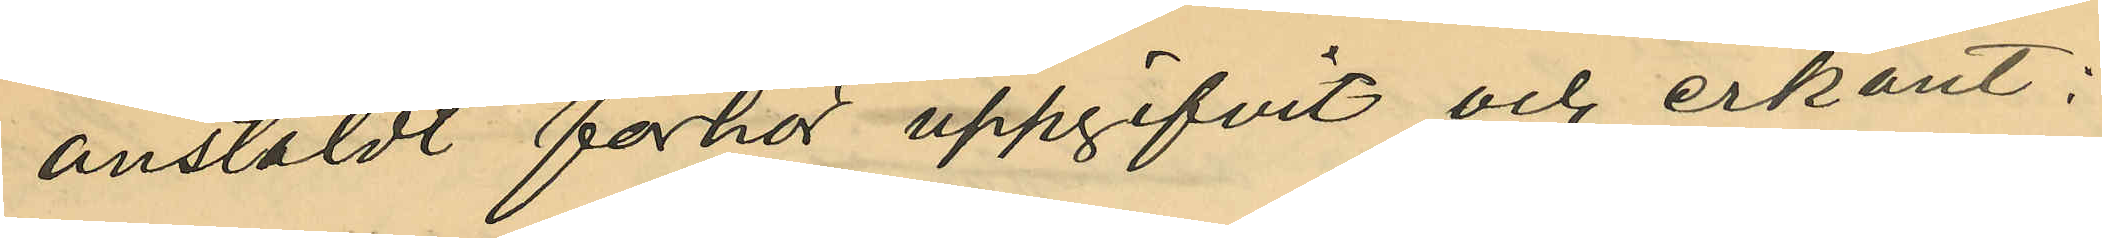anstäldt förhör uppgifvit och erkänt:
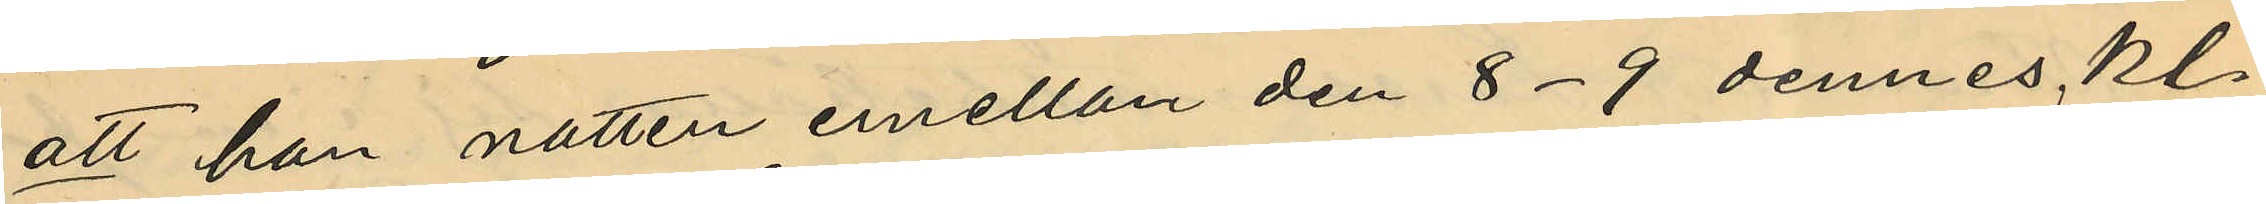att han natten emellan den 8-9 dennes, kl.
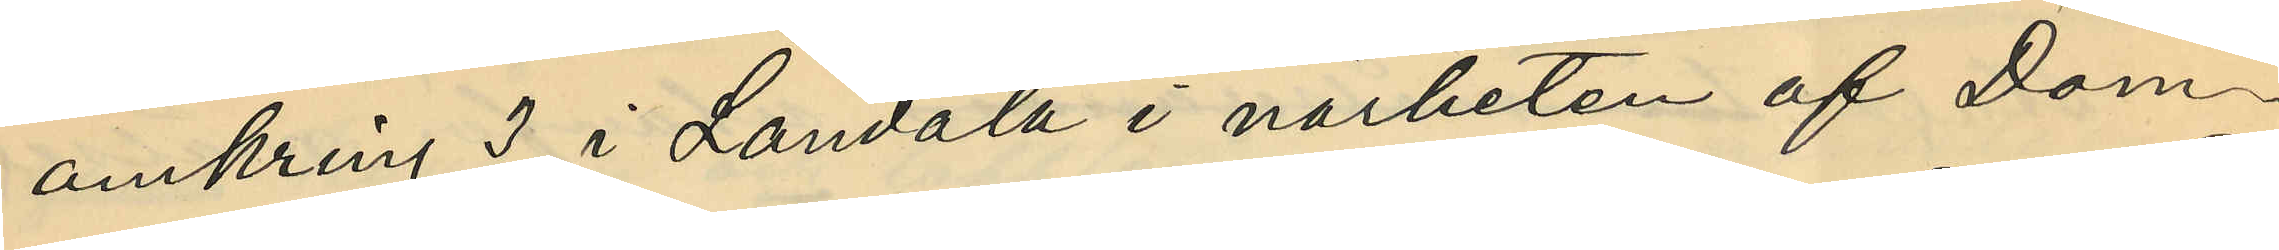omkring 3, i Landala i närheten af Dom¬
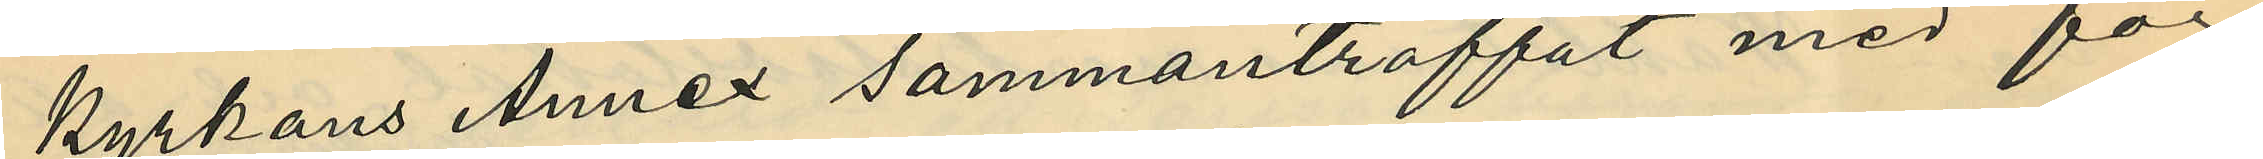kyrkans Annex sammanträffat med för
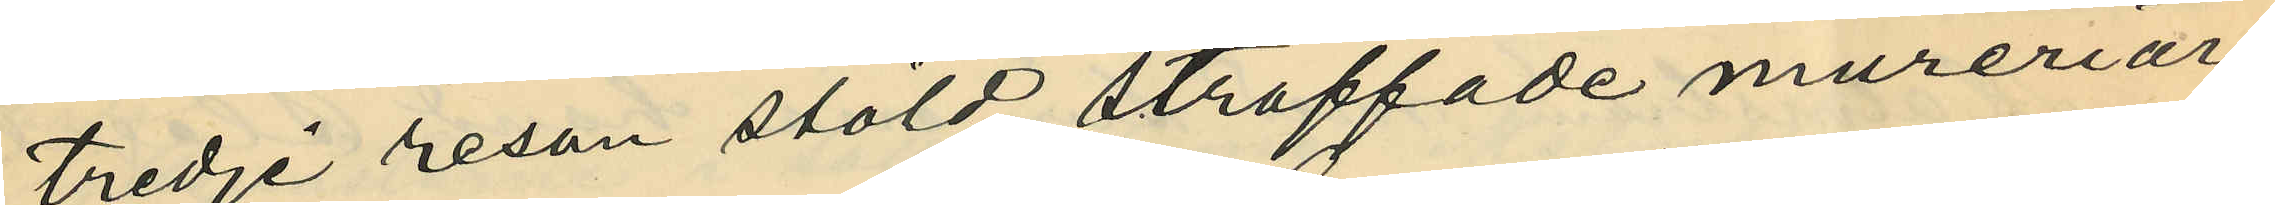tredje resan stöld straffade mureriar¬
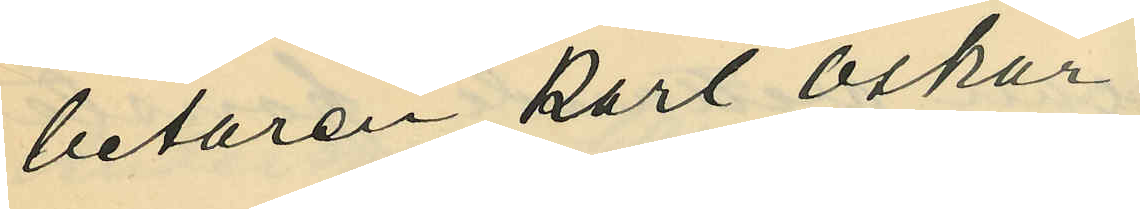betaren Karl Oskar
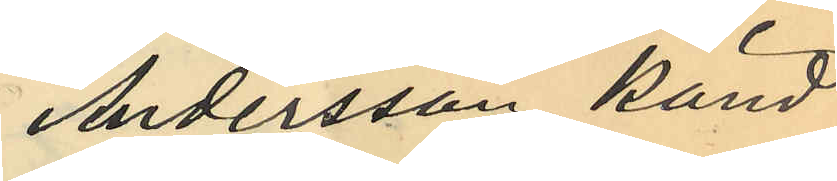Andersson känd
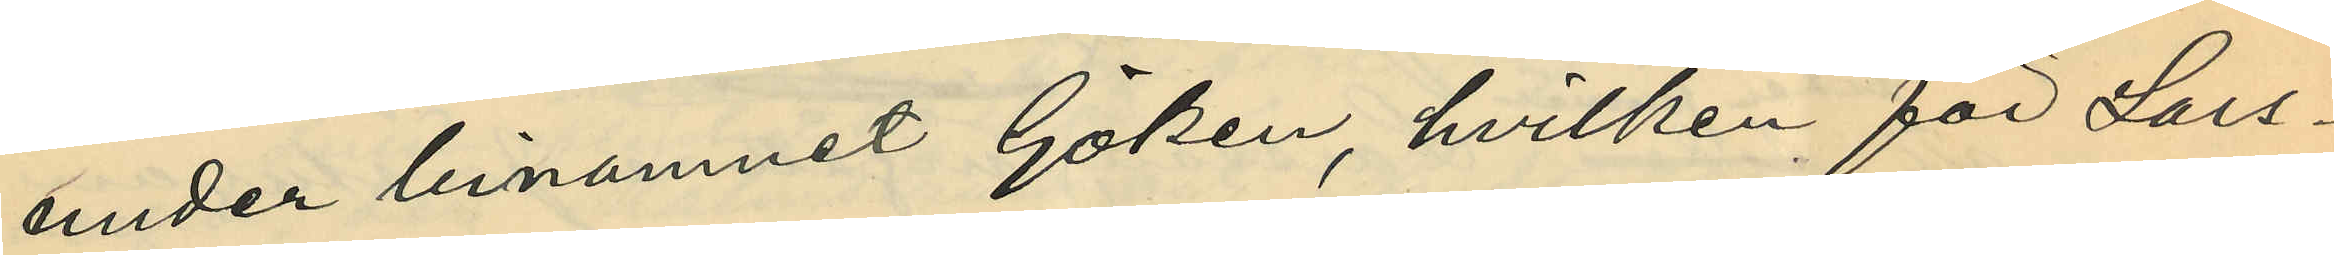under binamnet Göken, hvilken för Lars¬
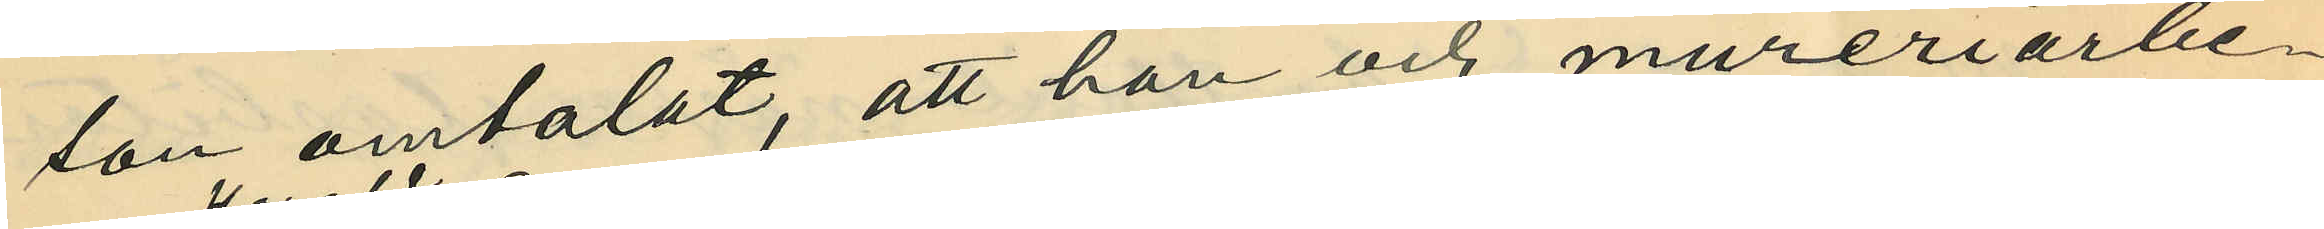son omtalat, att han och mureriarbe¬
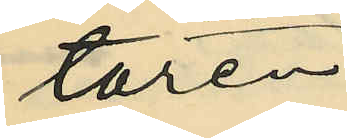taren
